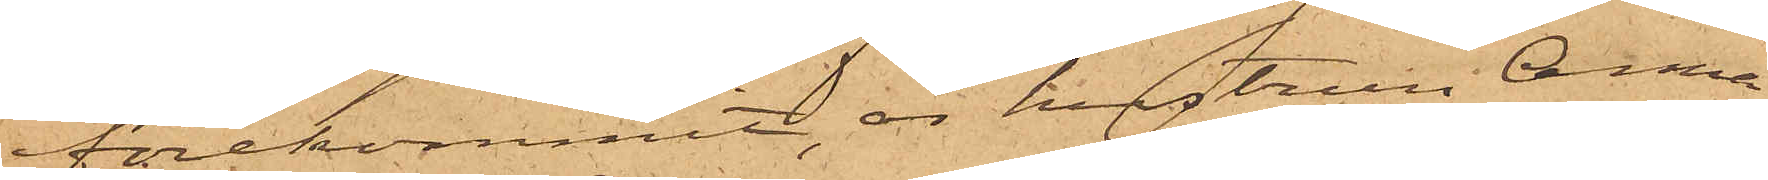förekommit, är hustrun Anna
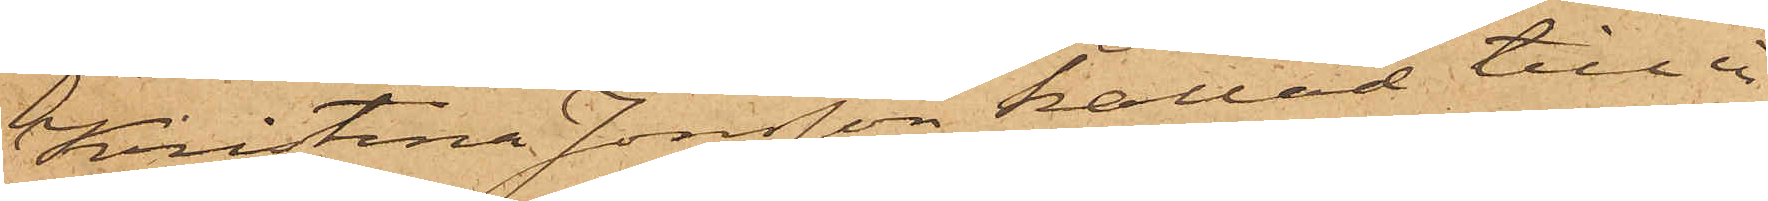Kristina Jonsson kallad till i
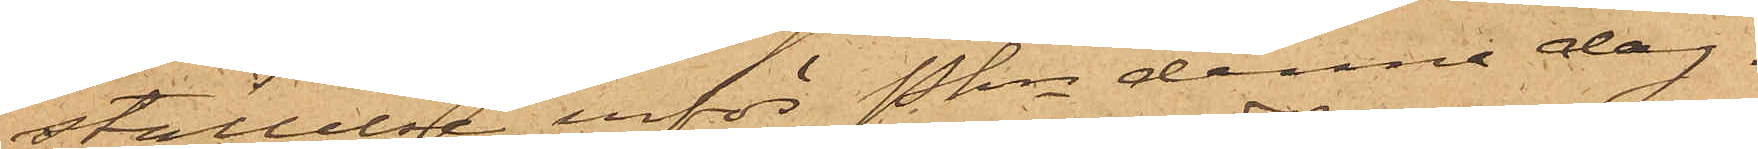ställelse inför Pkn denna dag.
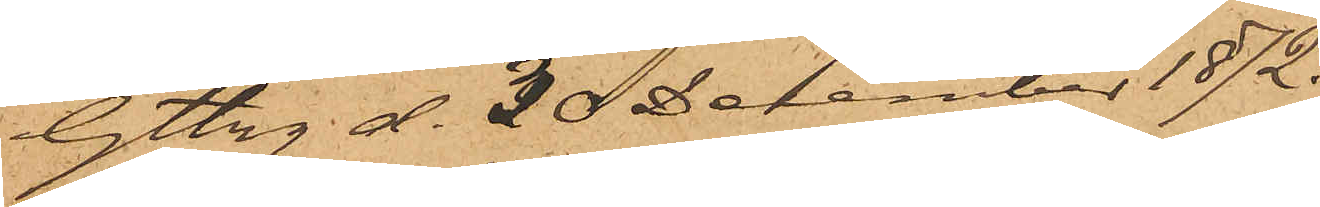Gtbg d. 30 December 1872.
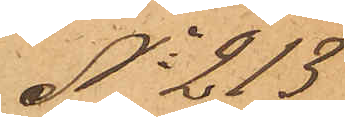No 213
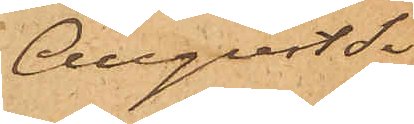August Si¬
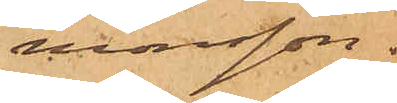monsson.
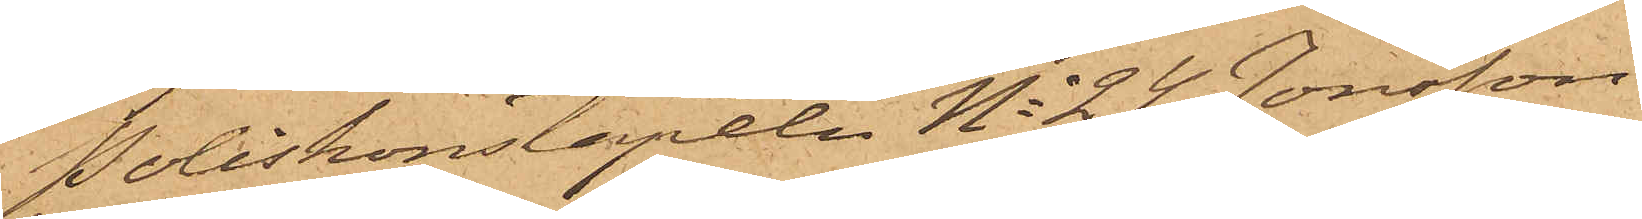Poliskonstapeln No 24 Jonsson
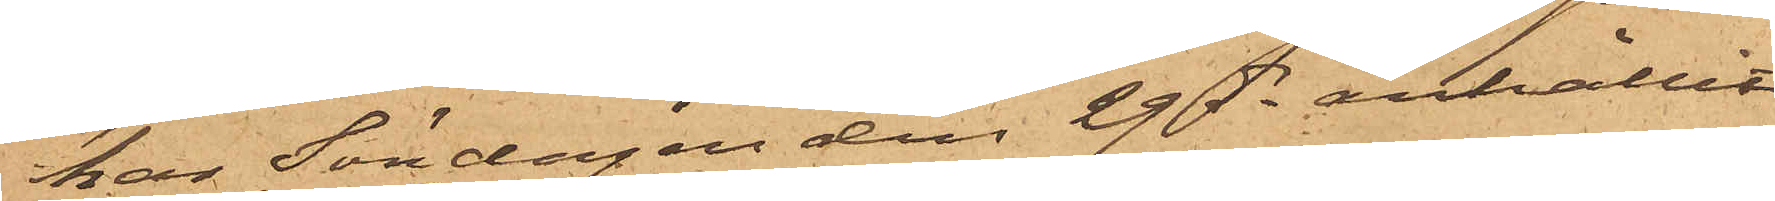har Söndagen den 29 ds anhållit
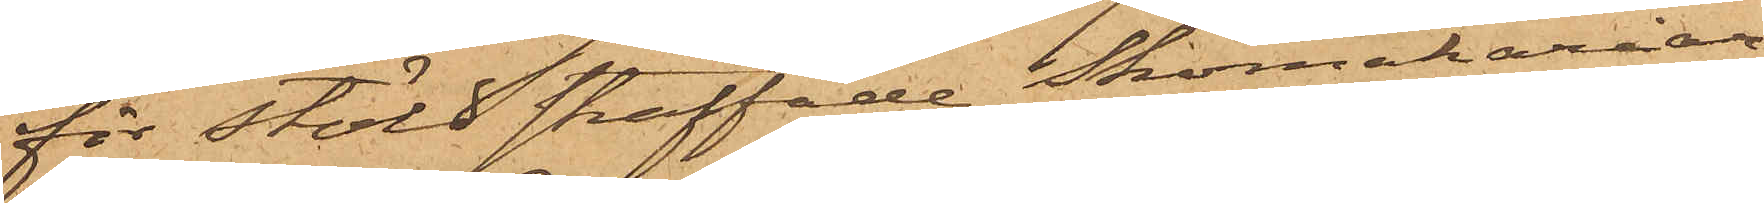för Stöld straffade Skomakeriar¬
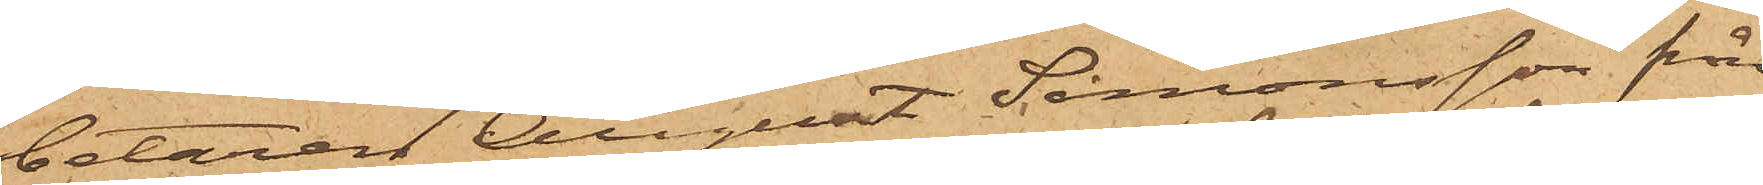betaren August Simonsson från
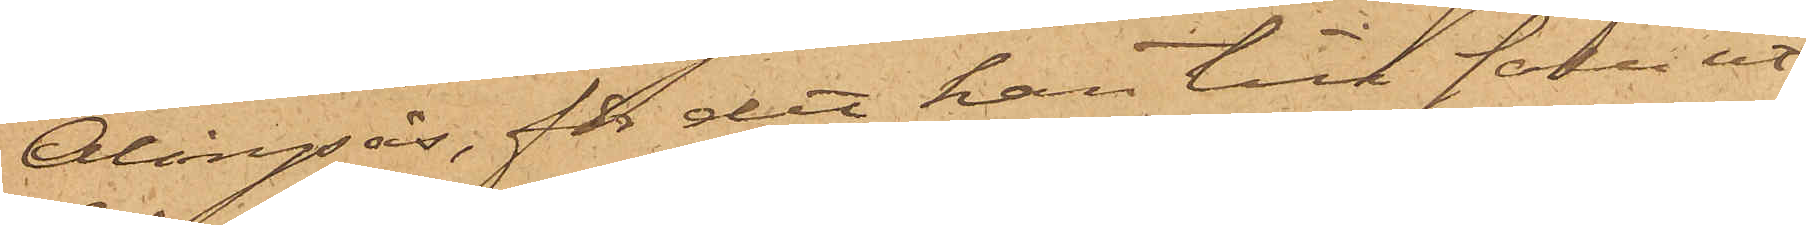Alingsås, för det han till salu ut¬
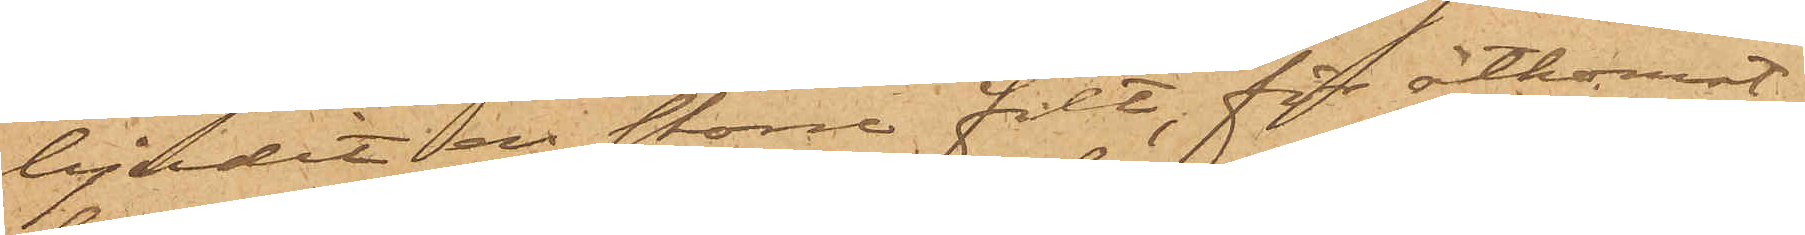bjudit en större filt, för åtkomst
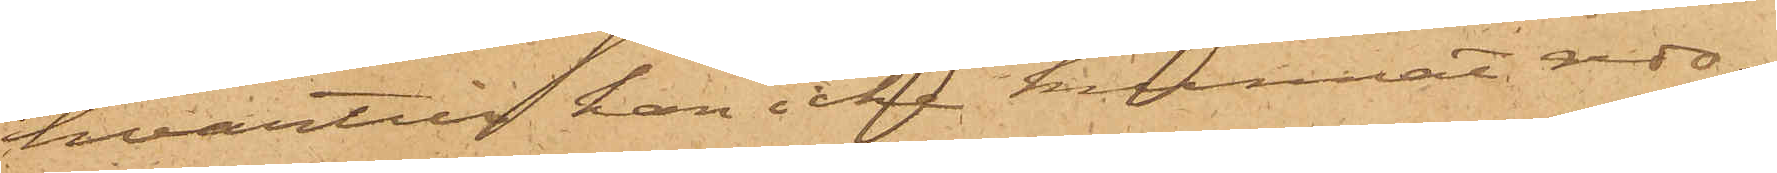hvartill han icke kunnat redo¬
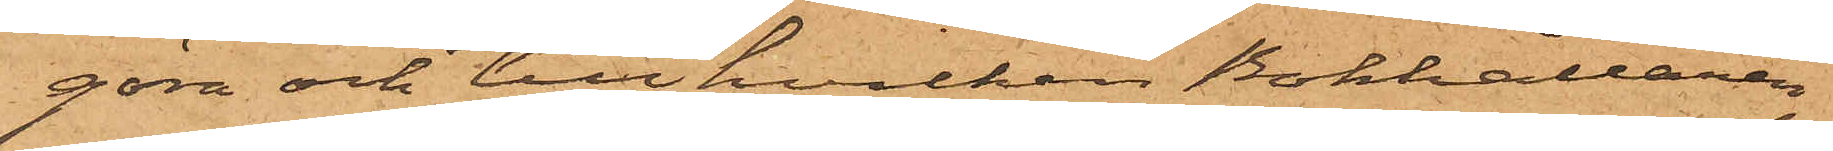göra och till hvilken Bokhållaren
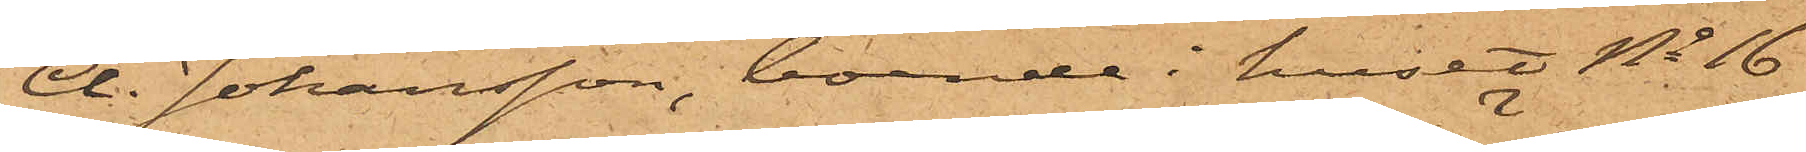A. Johansson, boende i huset No 16
